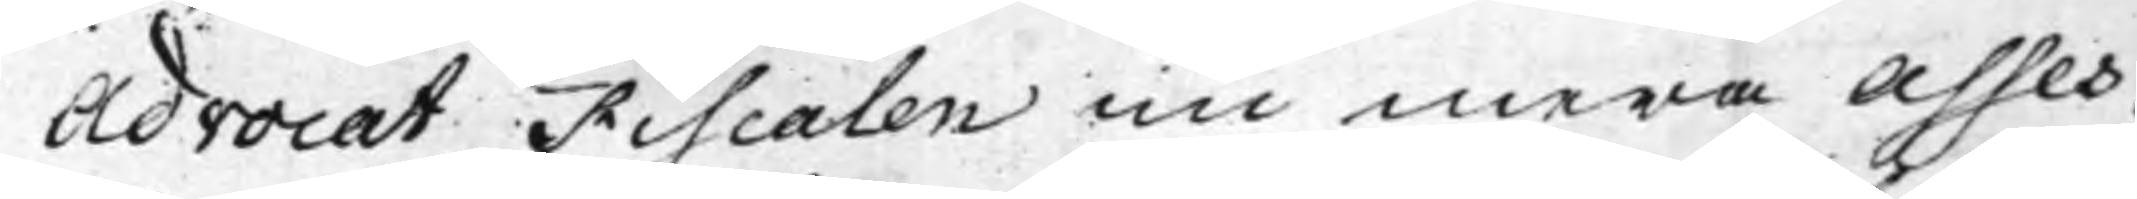Advocat Fiscalen nu mera Asses¬
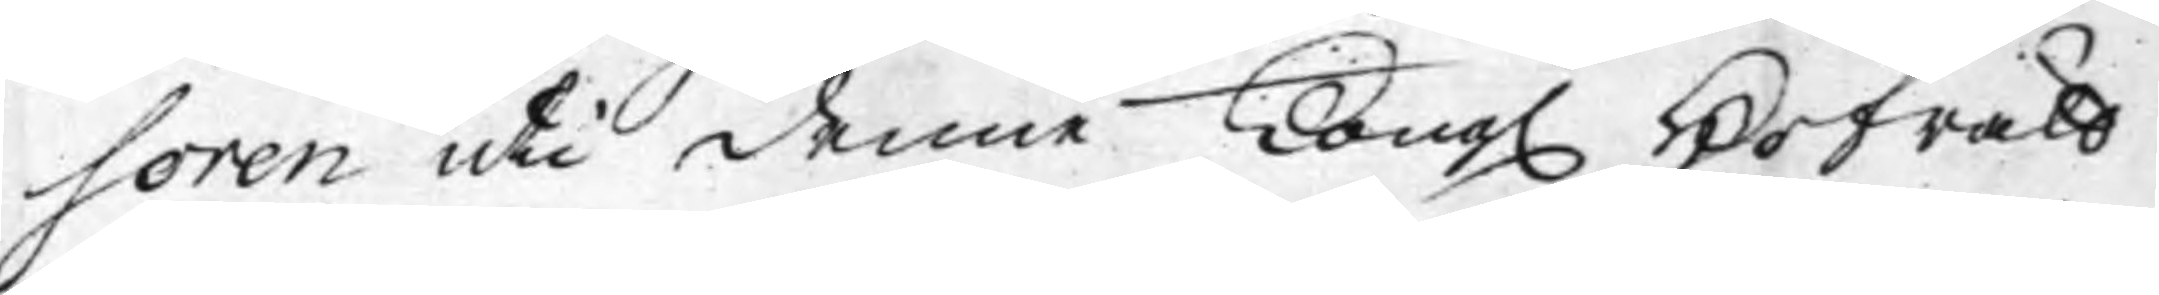soren uti denne Kong. Hofrätt
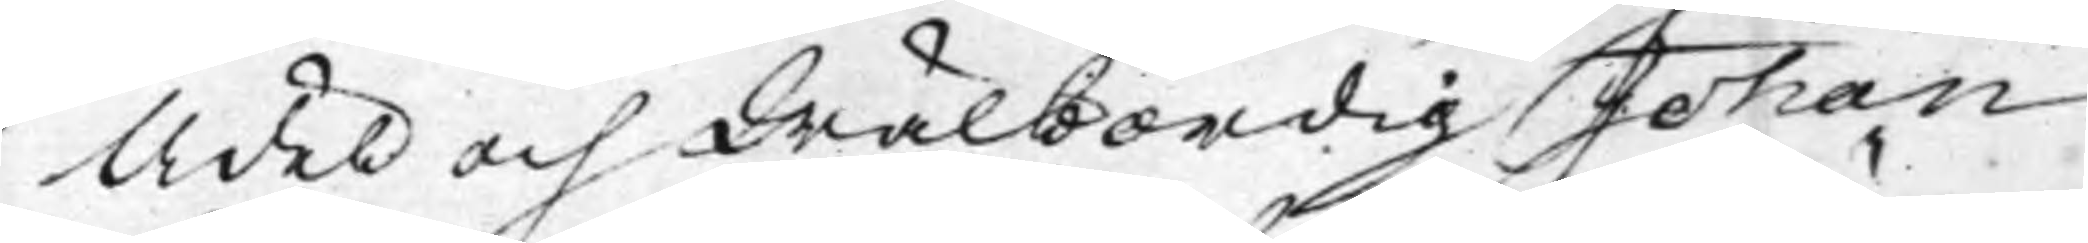Ädel och Wälbördig Johan
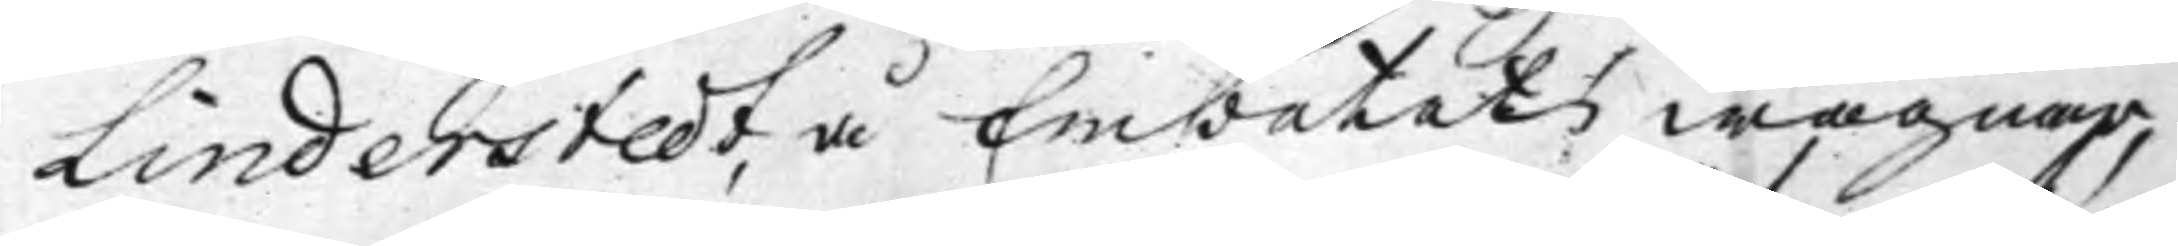Linderstedt, å Embetets wägnar,
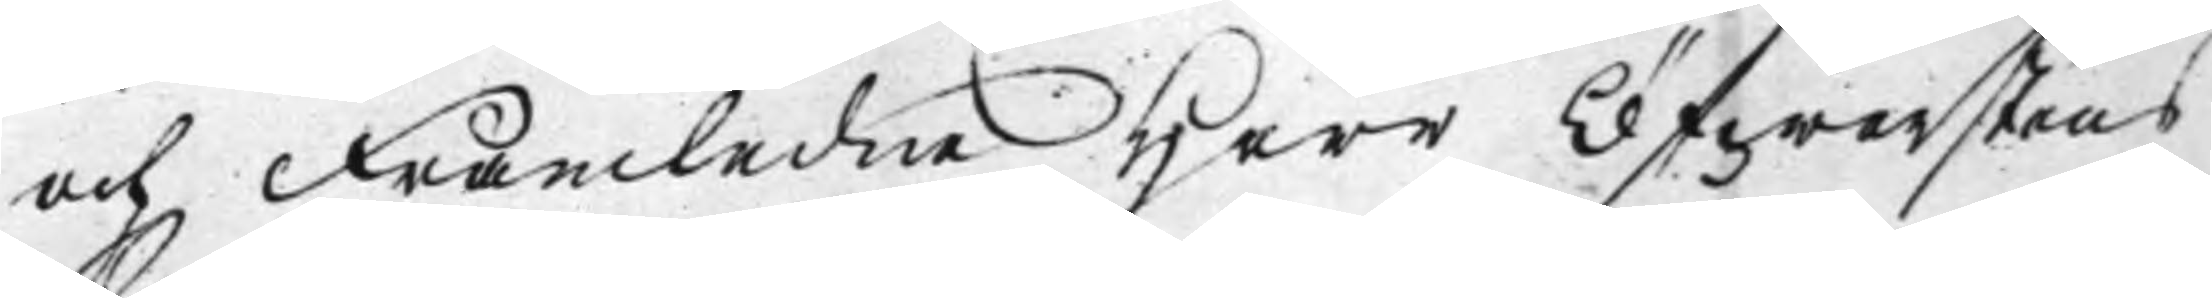och Framledne Herr Öfwerstens
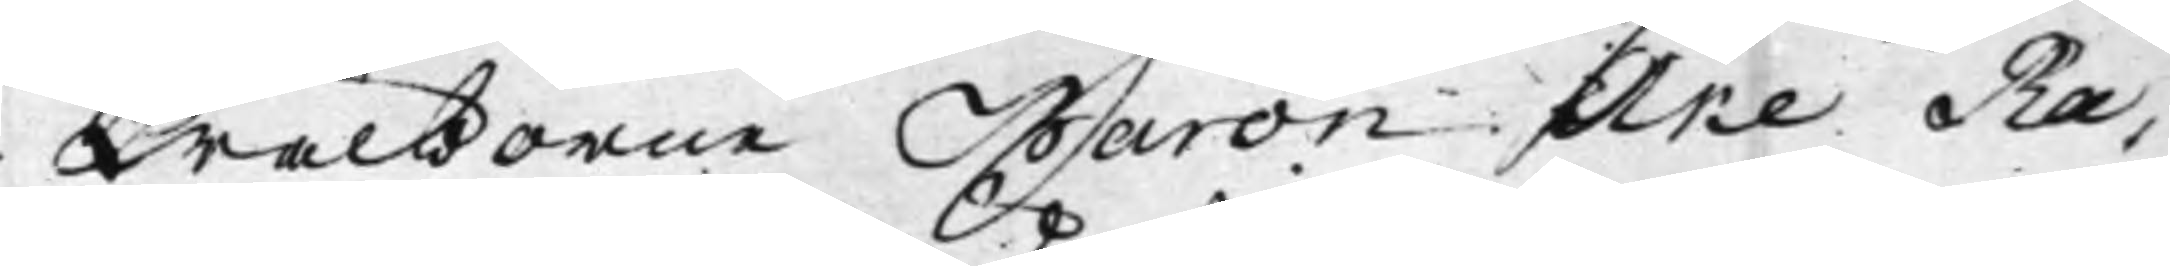Wälborne Baron Åke Rå¬
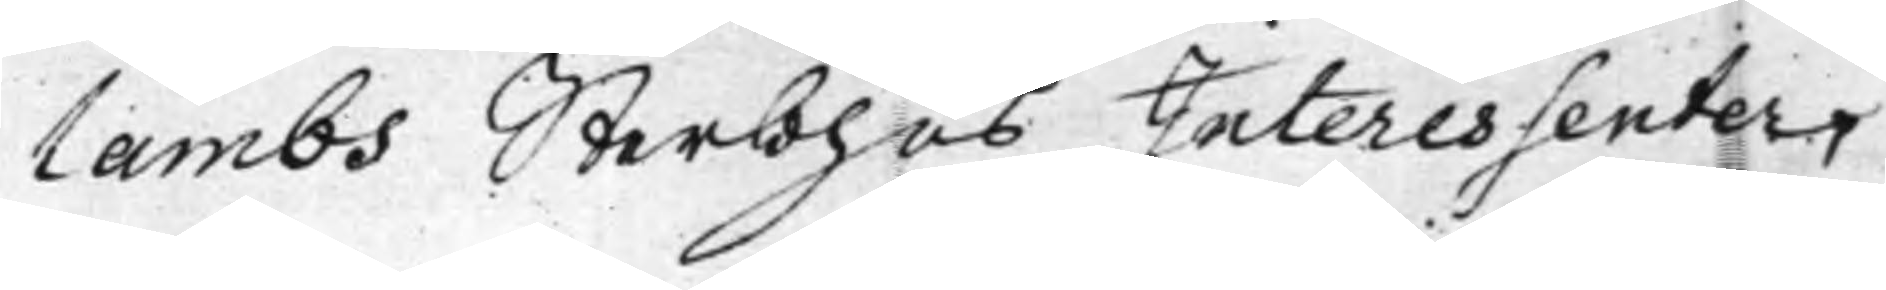lambs Sterbhus Interessenter
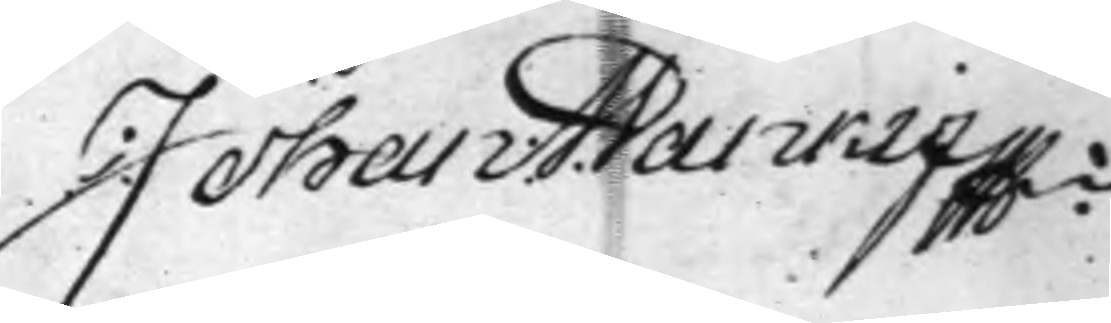Johan A. Vankif MPria
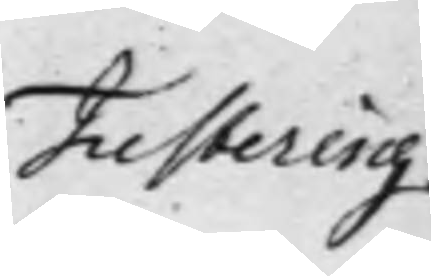Justering
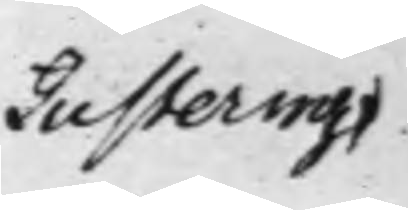Justering
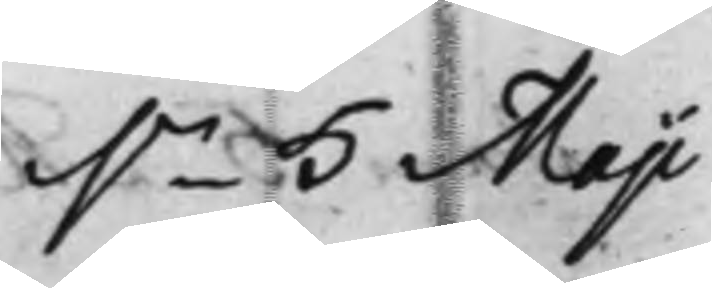d.n 5 Maji
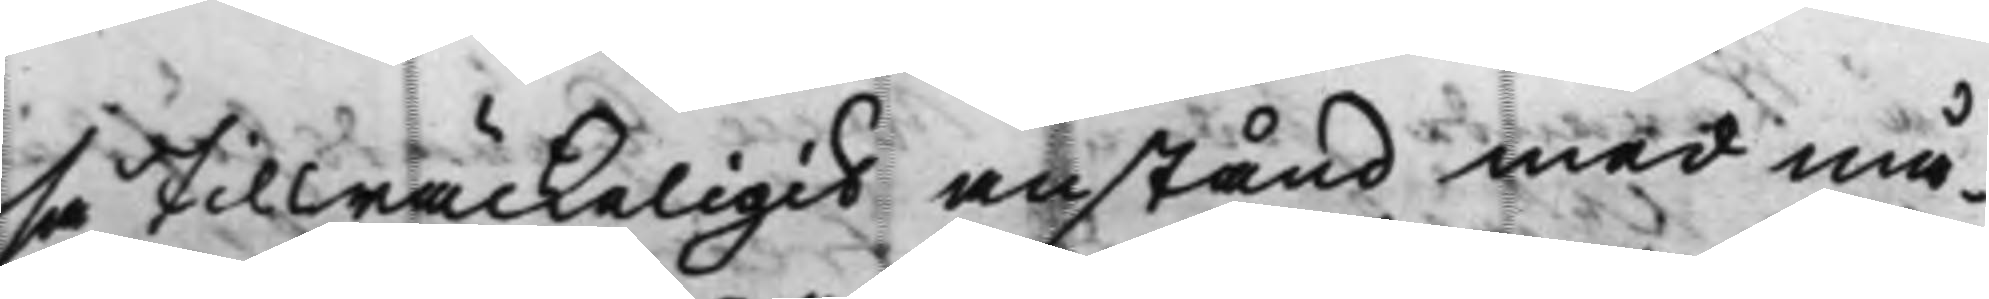så tillräckeligit anstånd med må¬
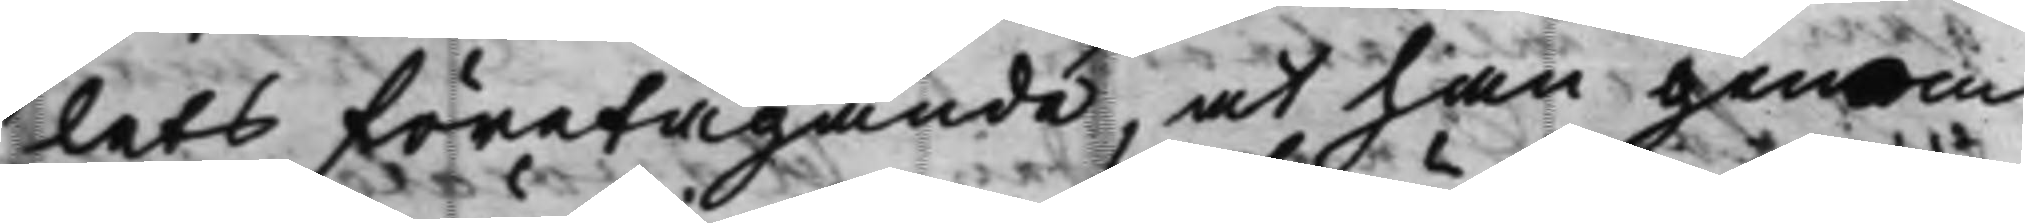lets företagande, at han genom
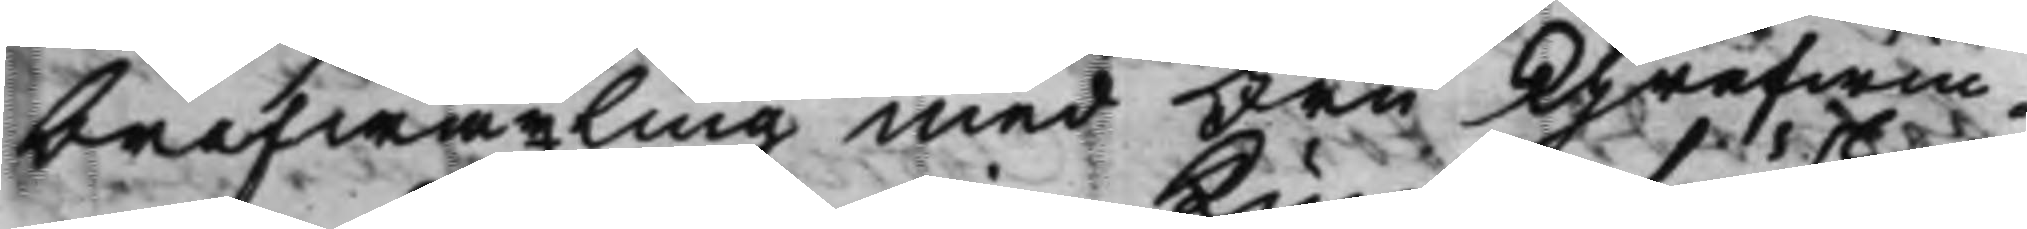brefwäxling med Fru Grefwin¬
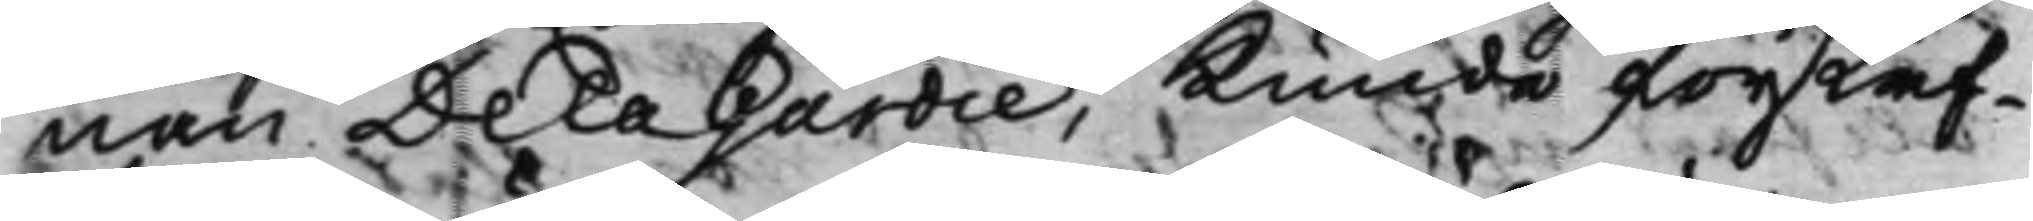nan De la Gardie, Kunde förskaf¬
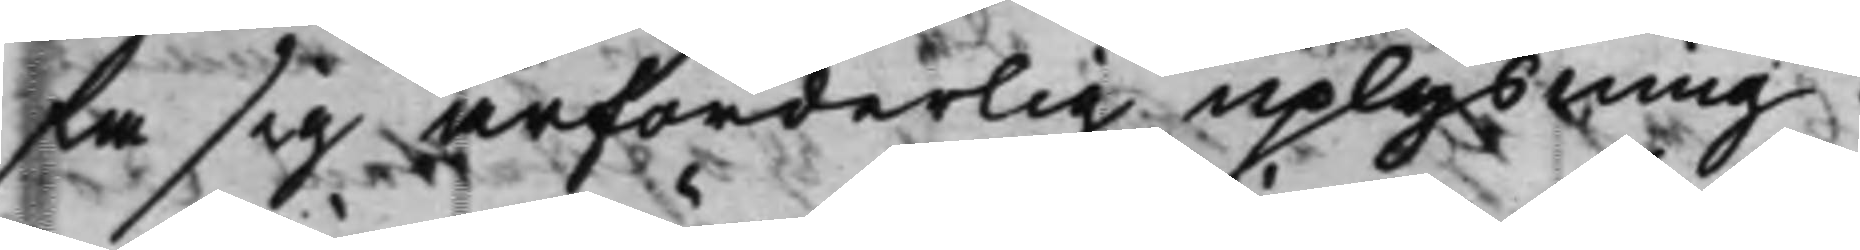fa sig ärforderlig uplysning.
